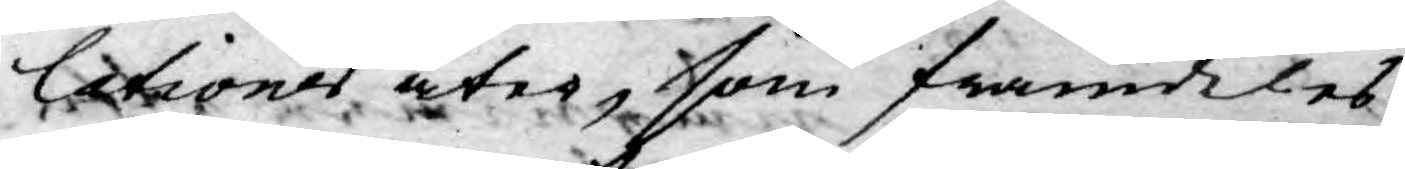lationer åter, som framdeles
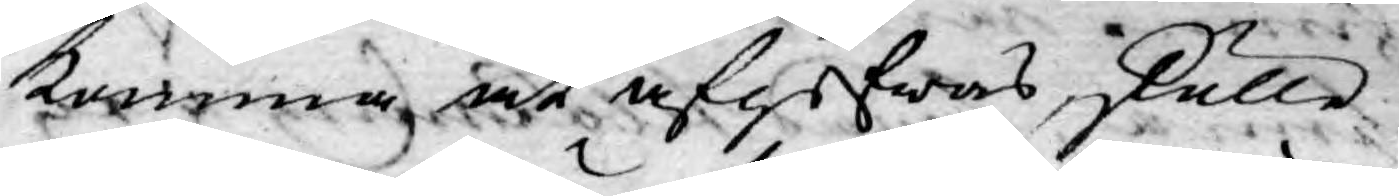komma, at afgifwas, skulle
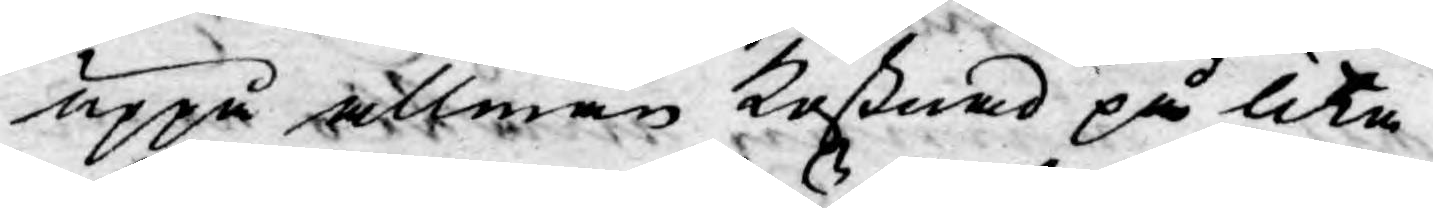uppå allmän kostnad på lika
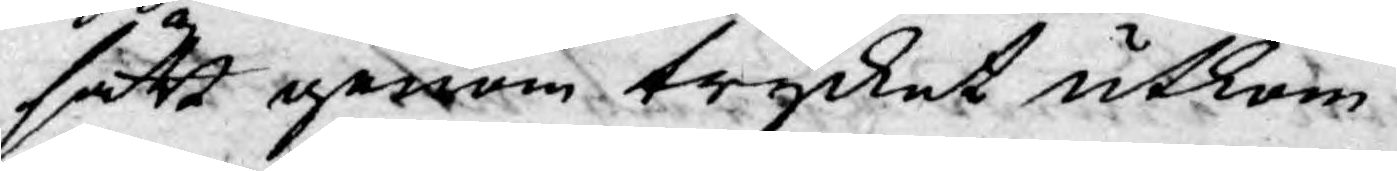sätt genom trycket utkom¬
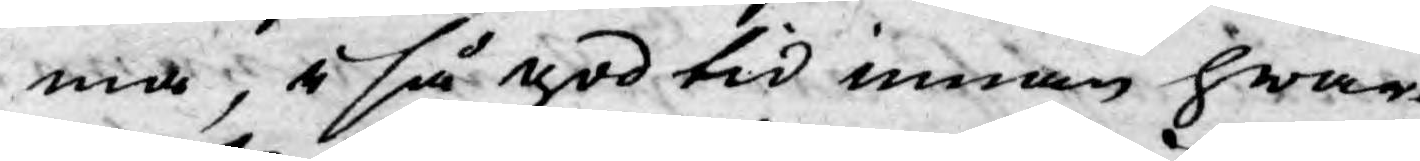ma, i så god tid innan hwar¬
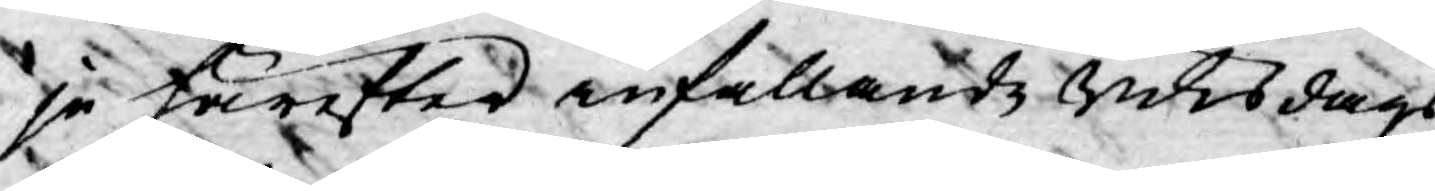je tärefter infallande Riksdags
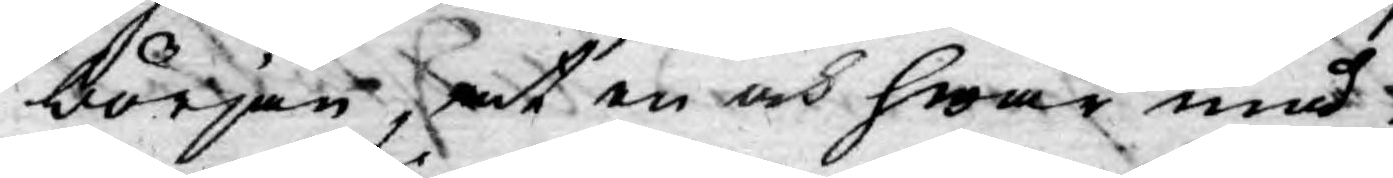början, at en och hwar med
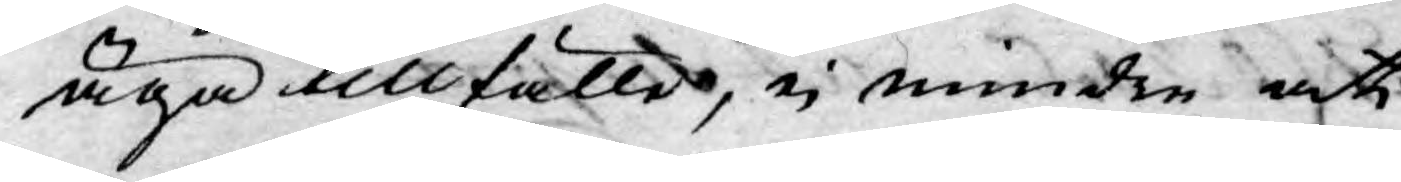äga tillfälle, ej mindre att
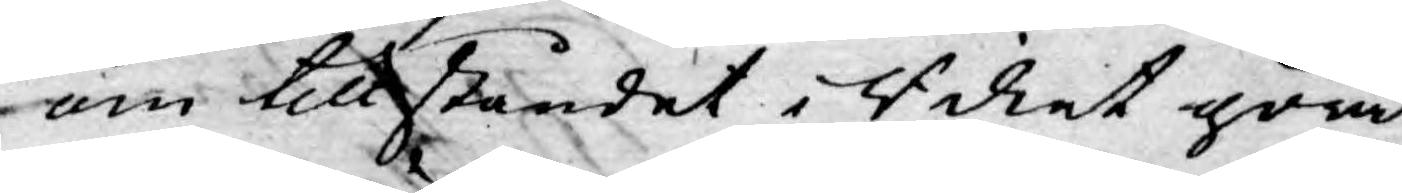om tillståndet i Riket göra
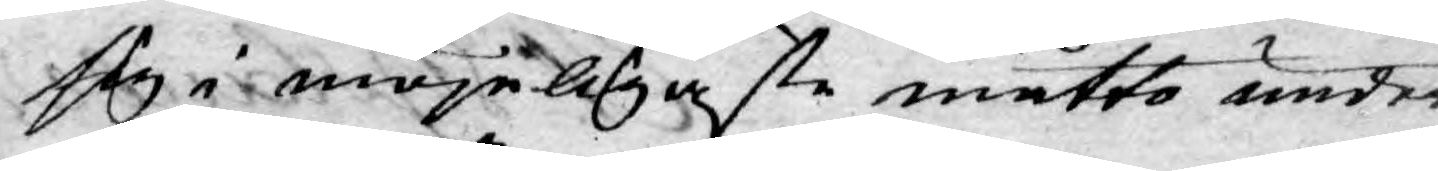sig i möjeligaste måtto under¬
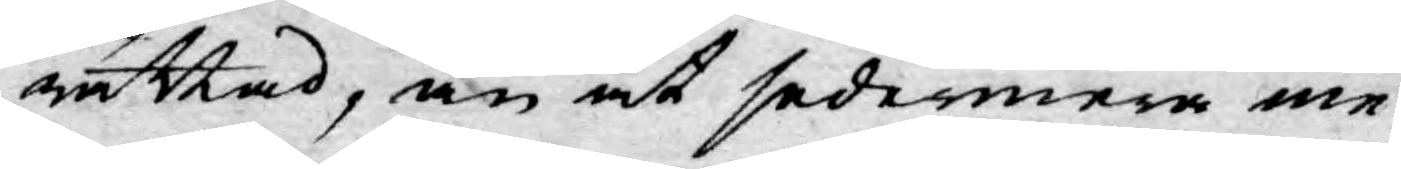rättad, än at sedermera me¬
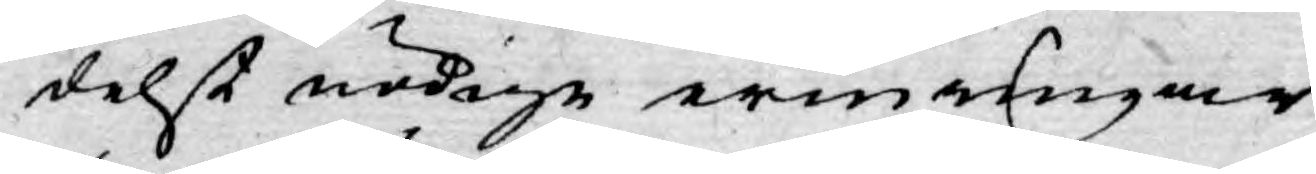delst nödige erinringar
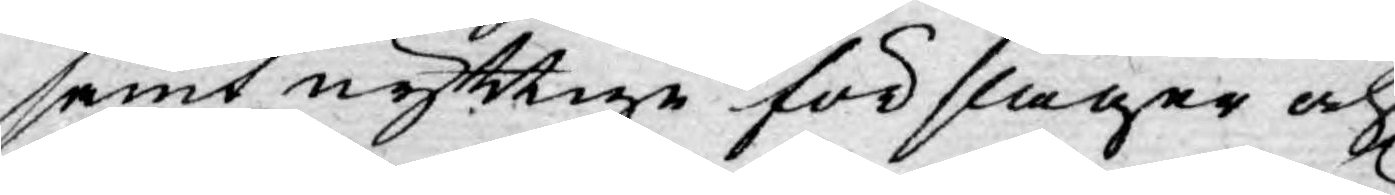samt nyttige förslager och
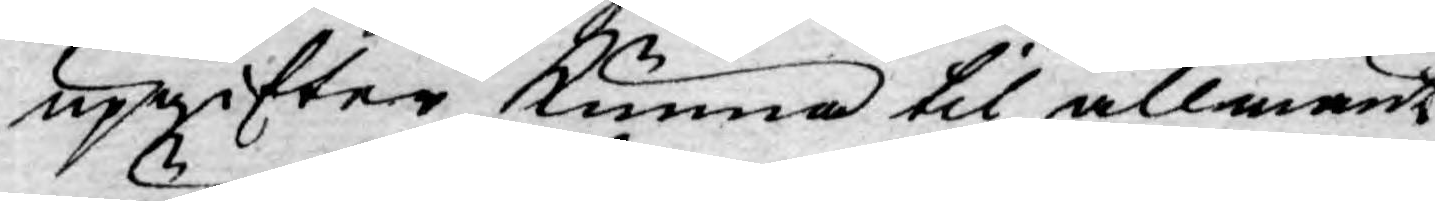upgifter kunna til allmänt
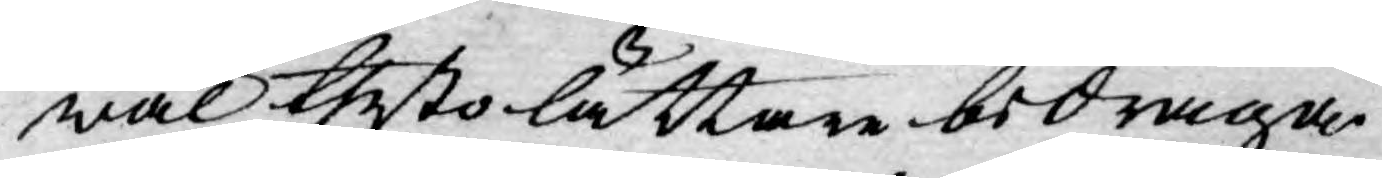wäl thesto lättare bedraga.
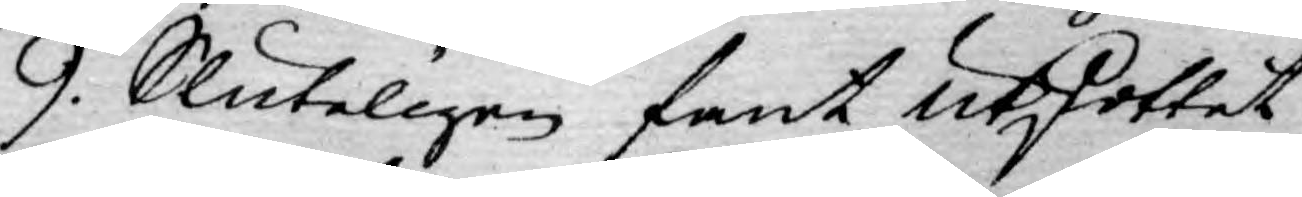9. Sluteligen fant Utskottet
